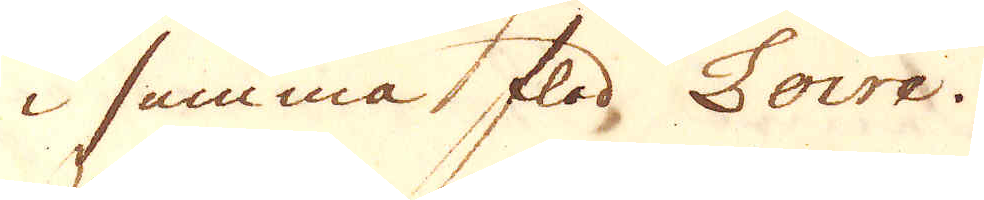i samma flod Loire.
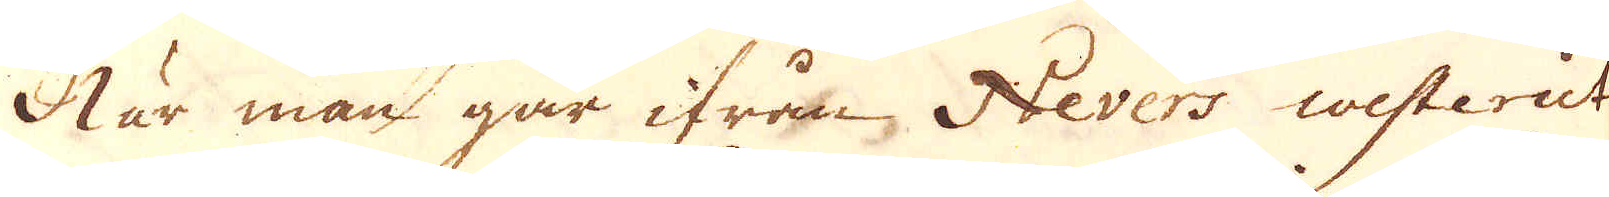När man går ifrån Nevers westerut
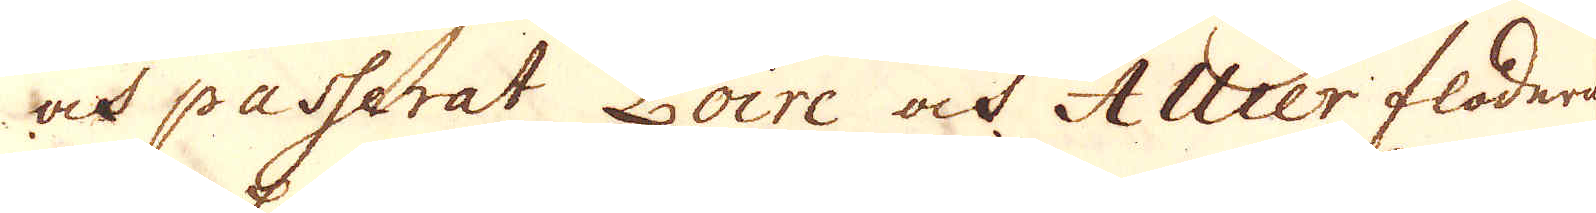och passerat Loire och Allier floderna
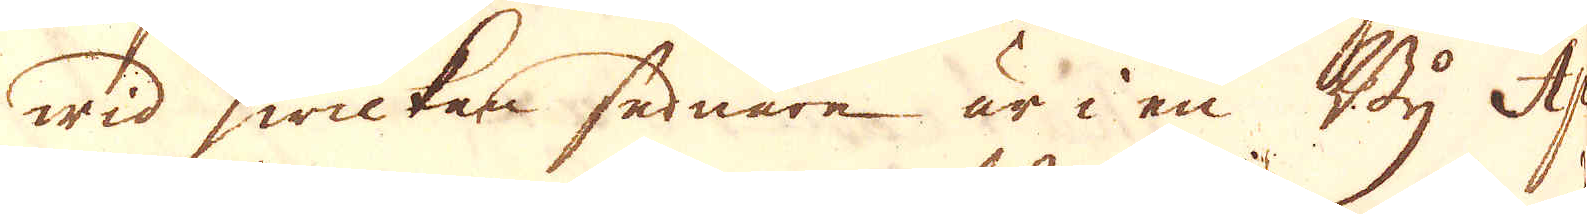wid hwilten sednare är i en By Ap-
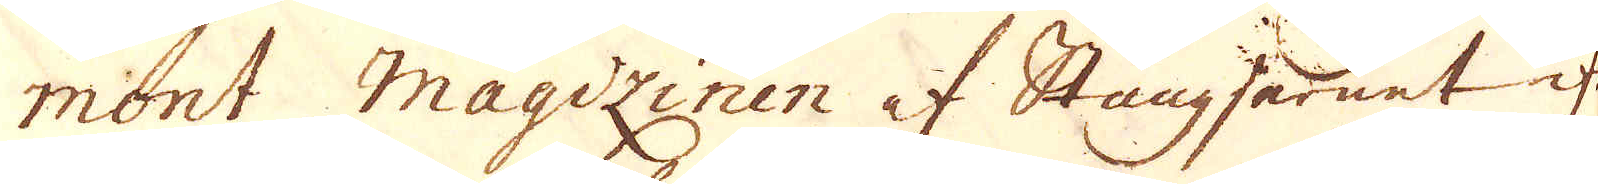mont magizinen af Stångjernet ifrån
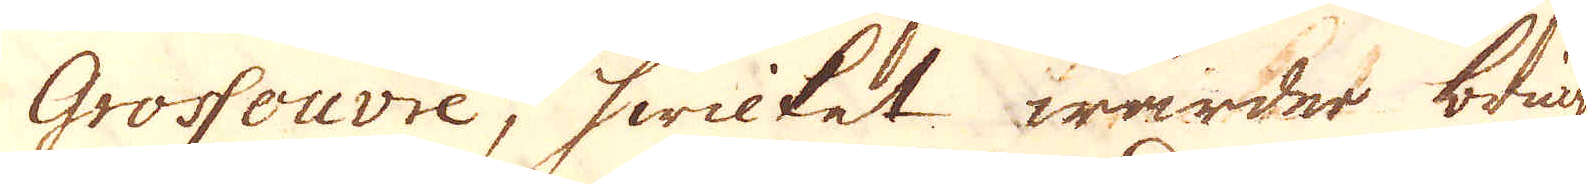Grossouvre, hwilket warder bringat
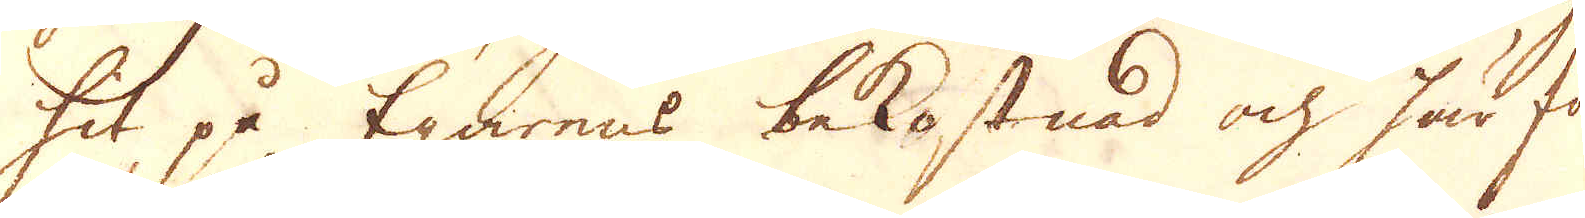hit på Egarens bekostnad ock här för-
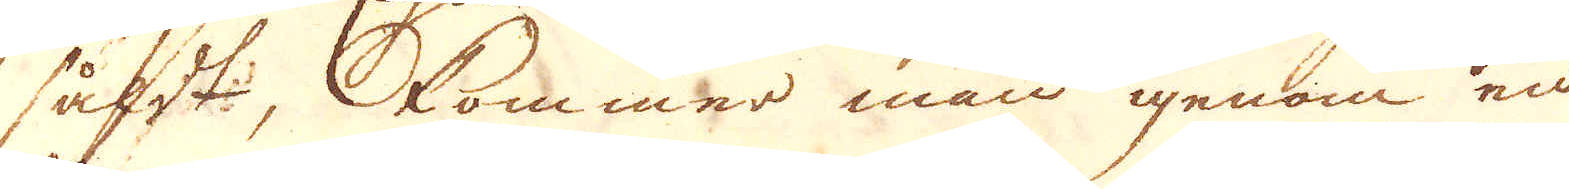sålt, kommer man igenom en
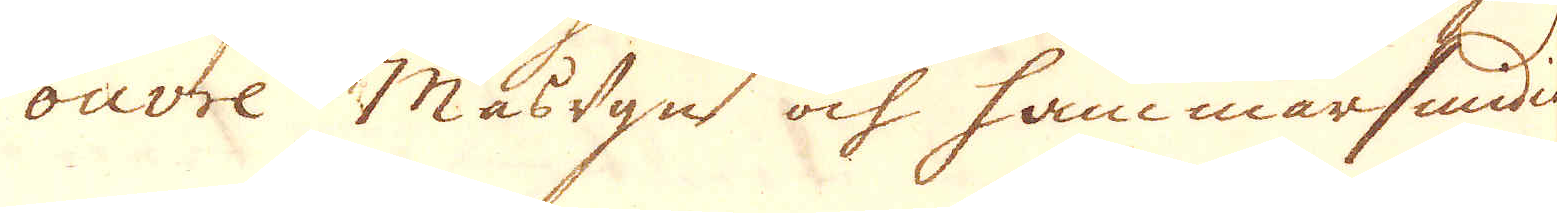ouvre Masugn och hammarsmidia
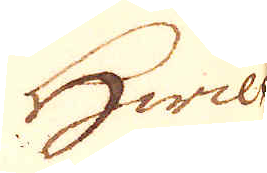Hwil-
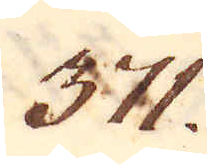371.
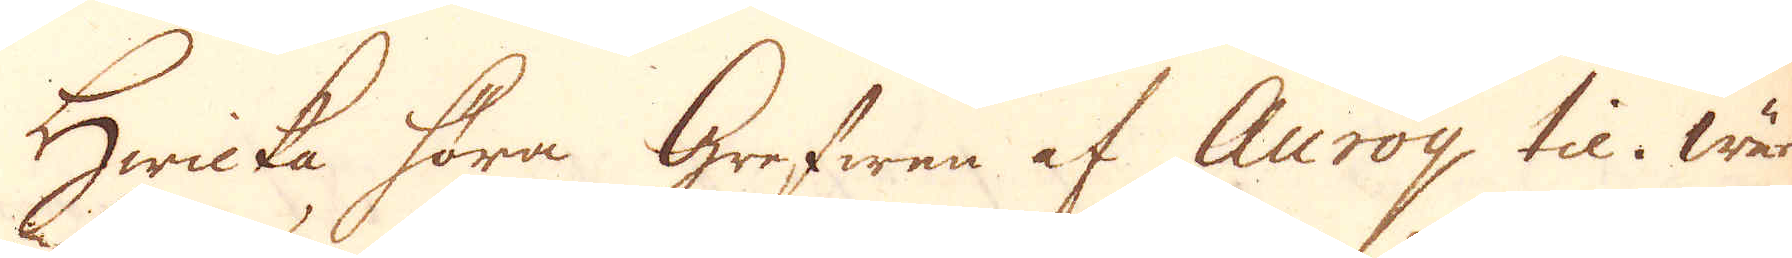Hwicka höra Grefwen af Auroy til. Wär-
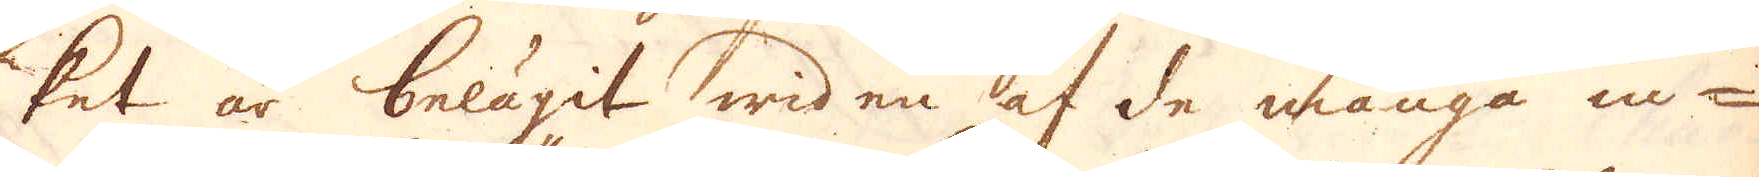ket är belägit wid en af de många in-
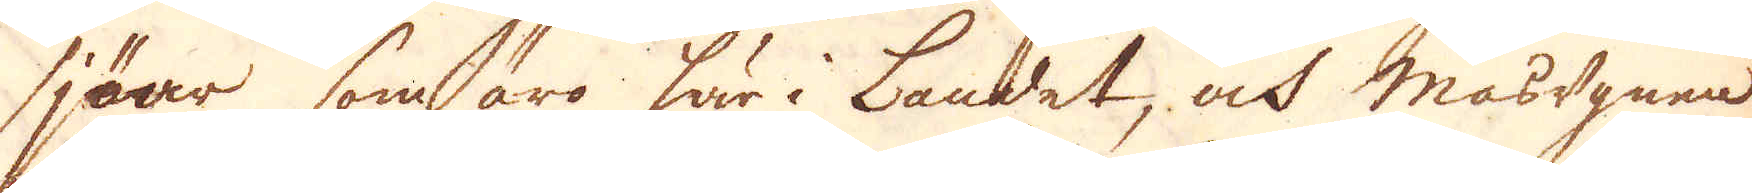sjöar som äro här i Landet, och masugnen
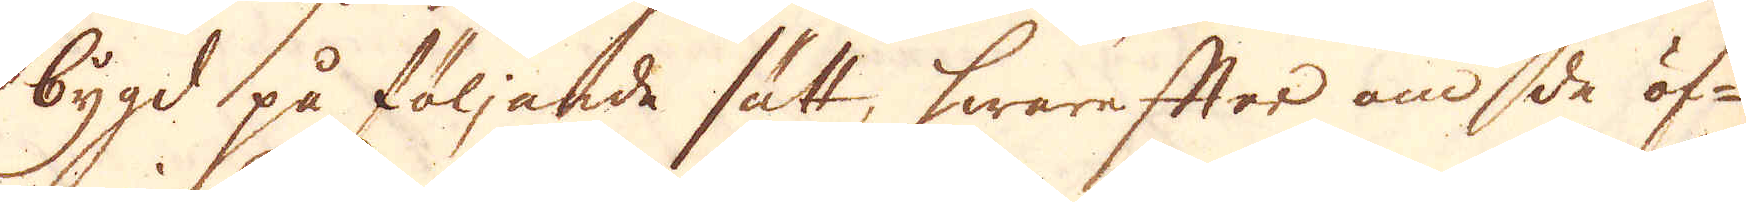bygd på följande sätt, hwarefter om de öf-
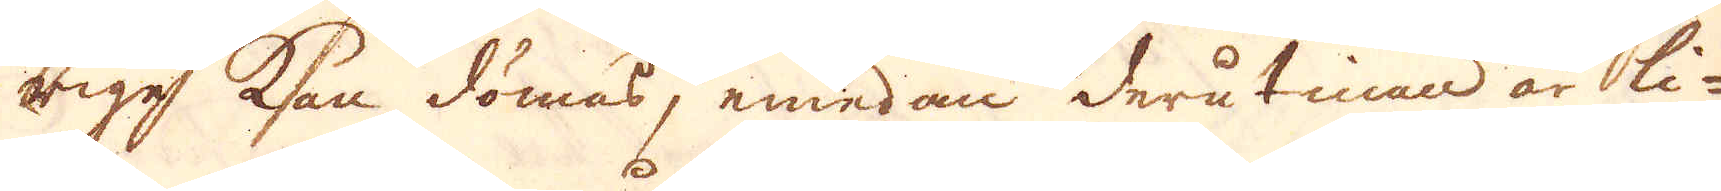rige kan dömas, emedan derutinan är li-
